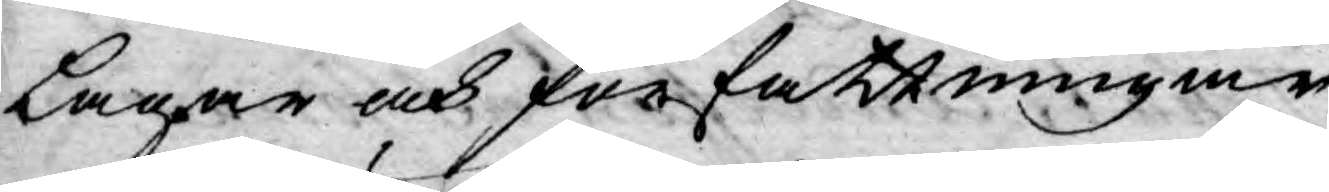Lagar och författningar,
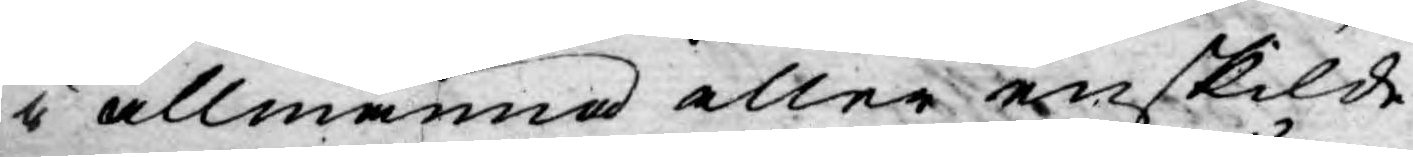i allmänna eller enskilde
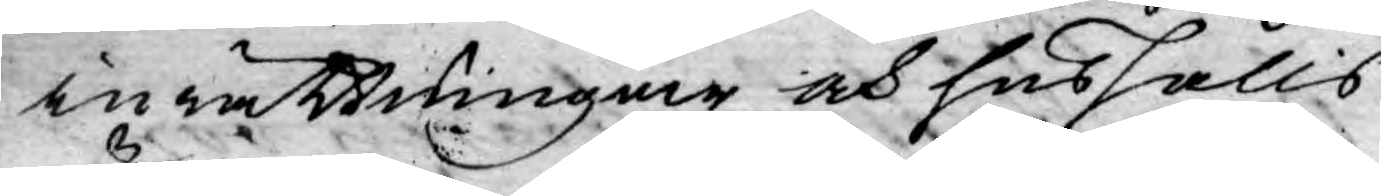inrättningar och hushålls
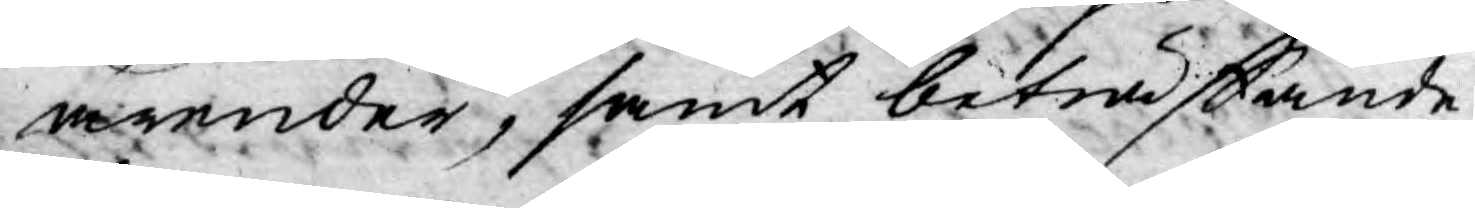ärender, samt beträffande
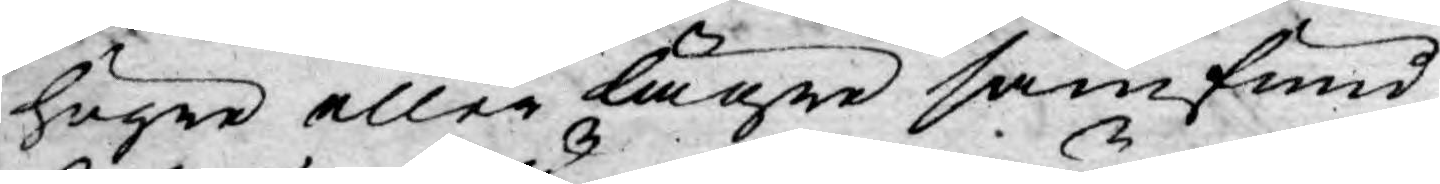högre eller lägre samfund,
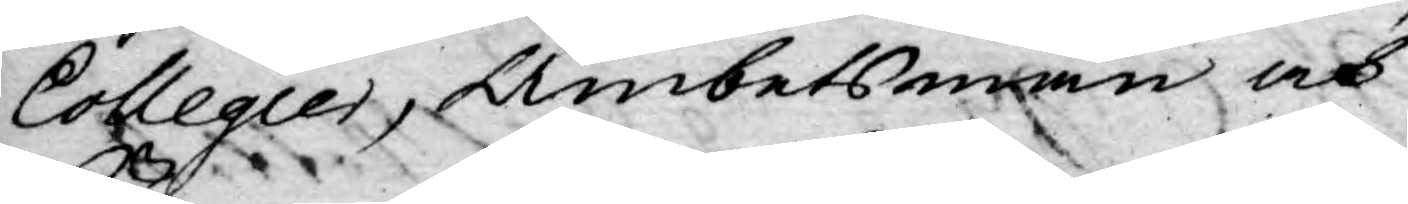Collegier, Ämbetsmän och
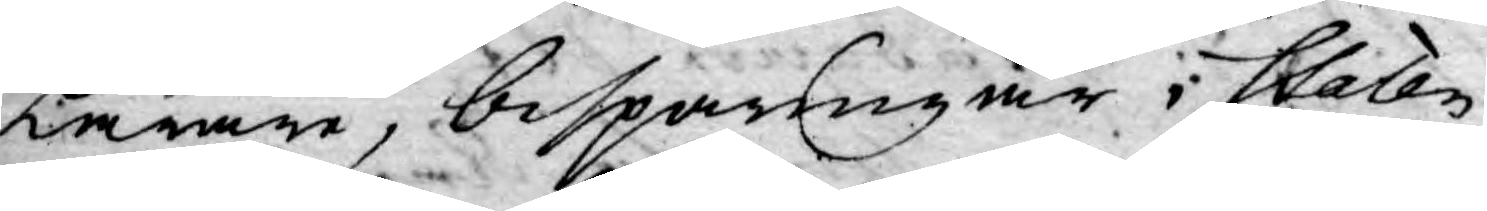Lärare, besparingar i Staten,
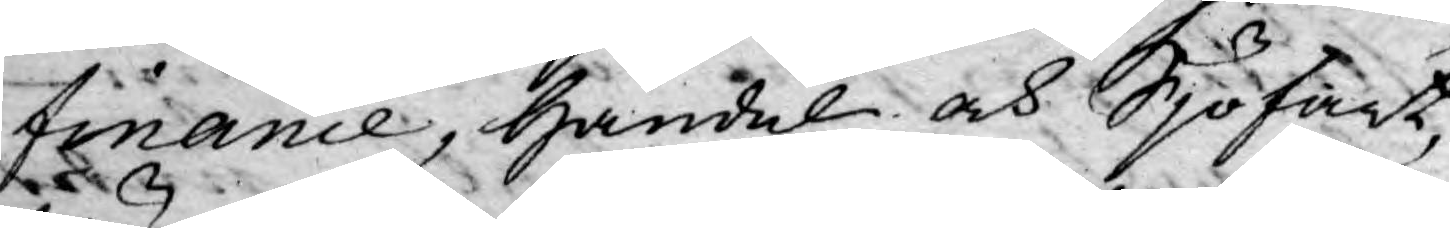finance, Handel och Sjöfart,
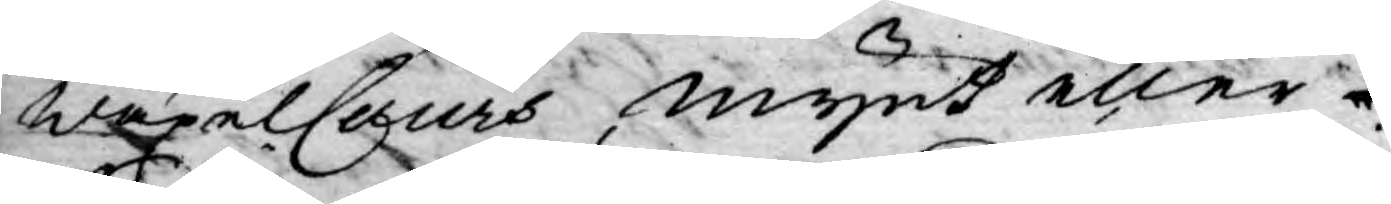Wäxelcours, mynt eller
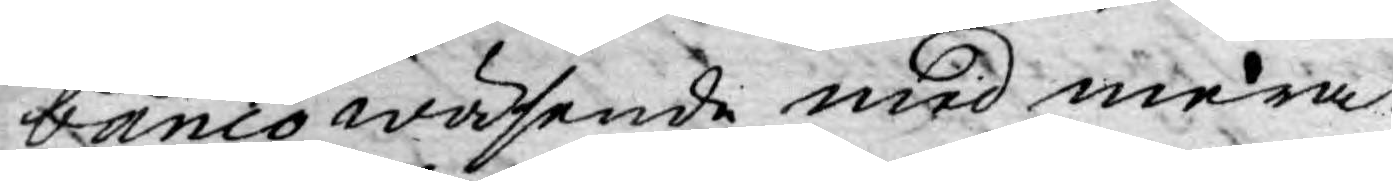bancowäsende, med mera.
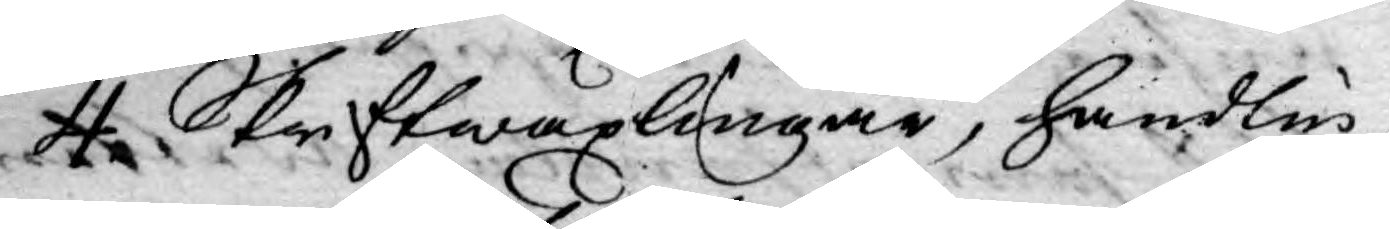4. Skriftwäxlingar, handlin¬
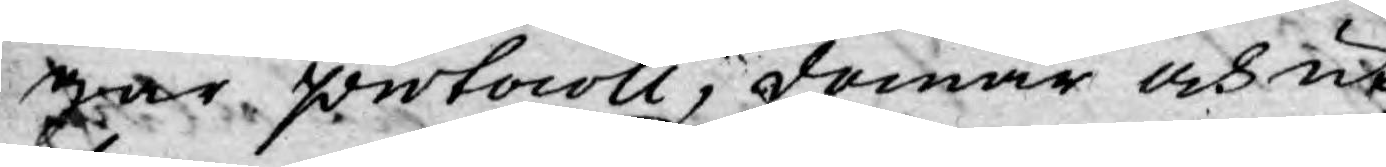gar protocoll, domar och ut¬
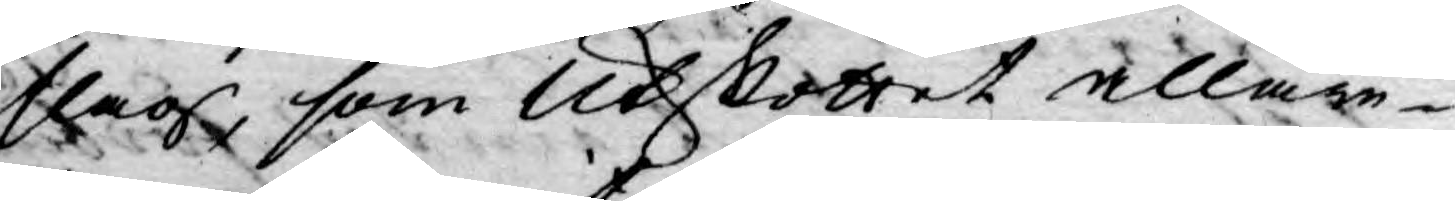slag, som Utskottet allare¬
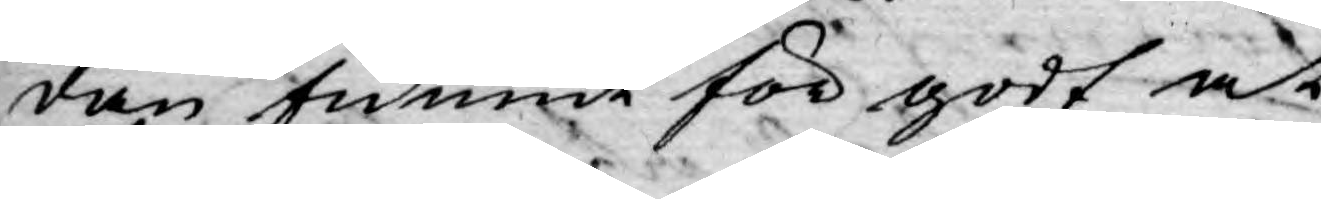dan funnit för godt at
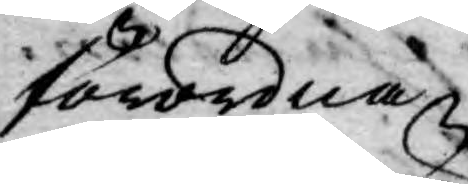förordna.
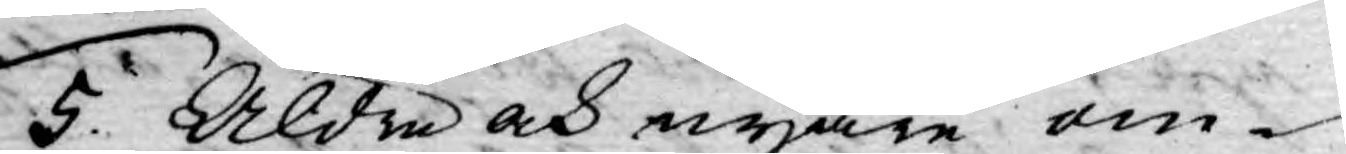5. Äldre och nyare om¬
